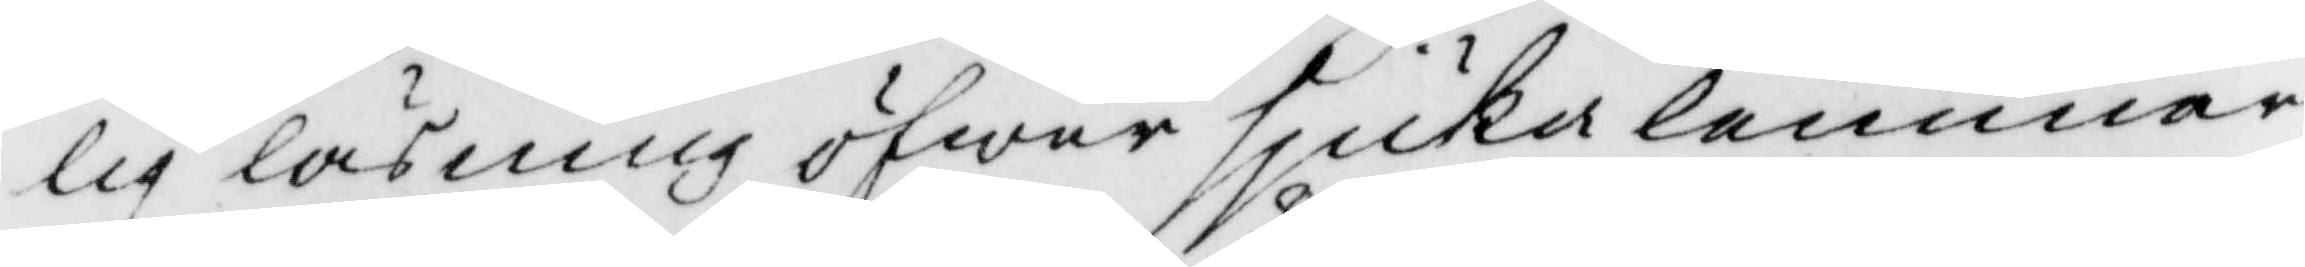lig läsning öfwer sjuka lemmar
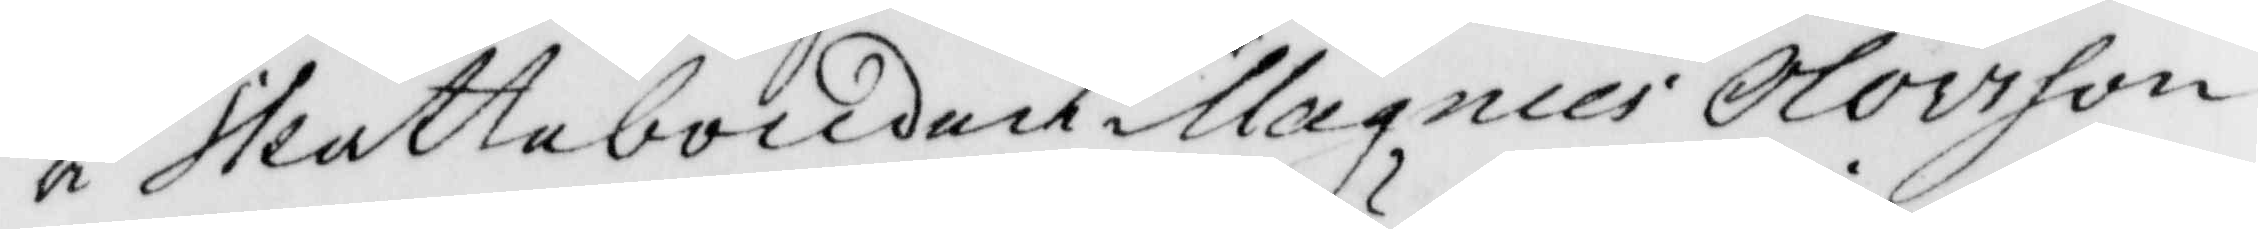å skattebonden Magnus Olovson
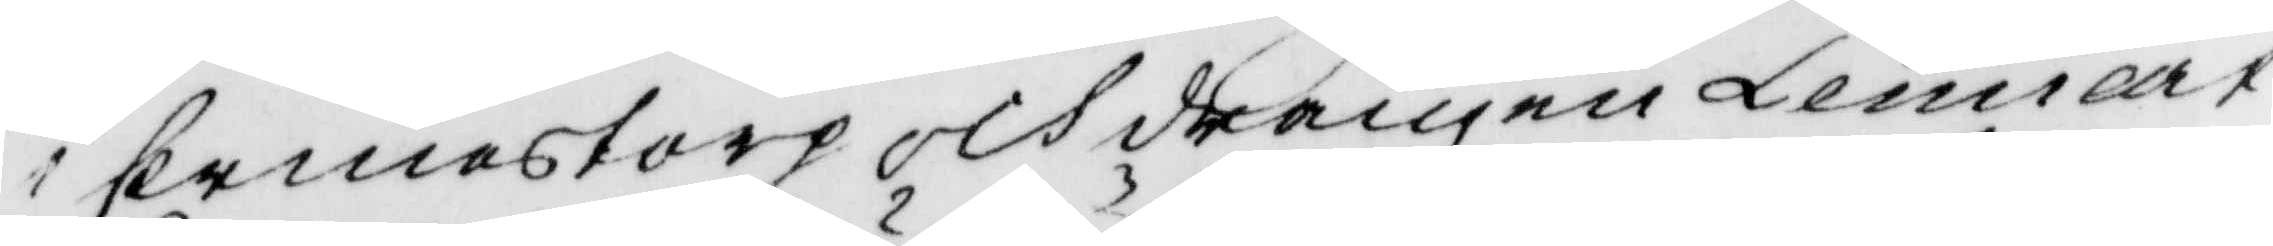i Ermestorp och drängen Lennart
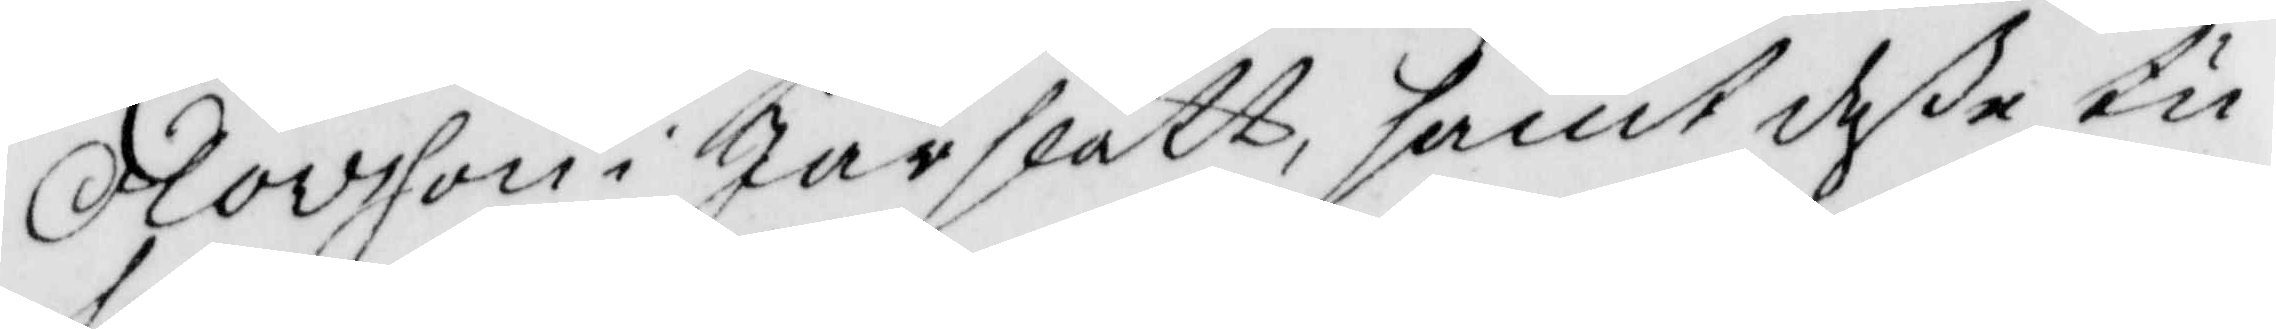Olovsson i Jurslätt, samt deße tu
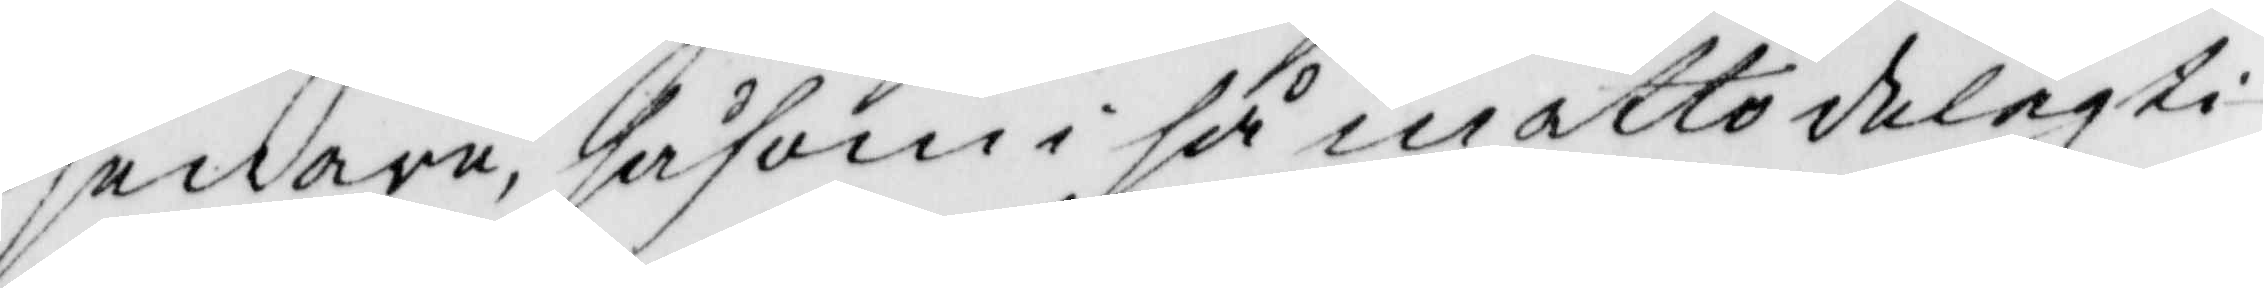senare, håsom i så måtto delagti¬
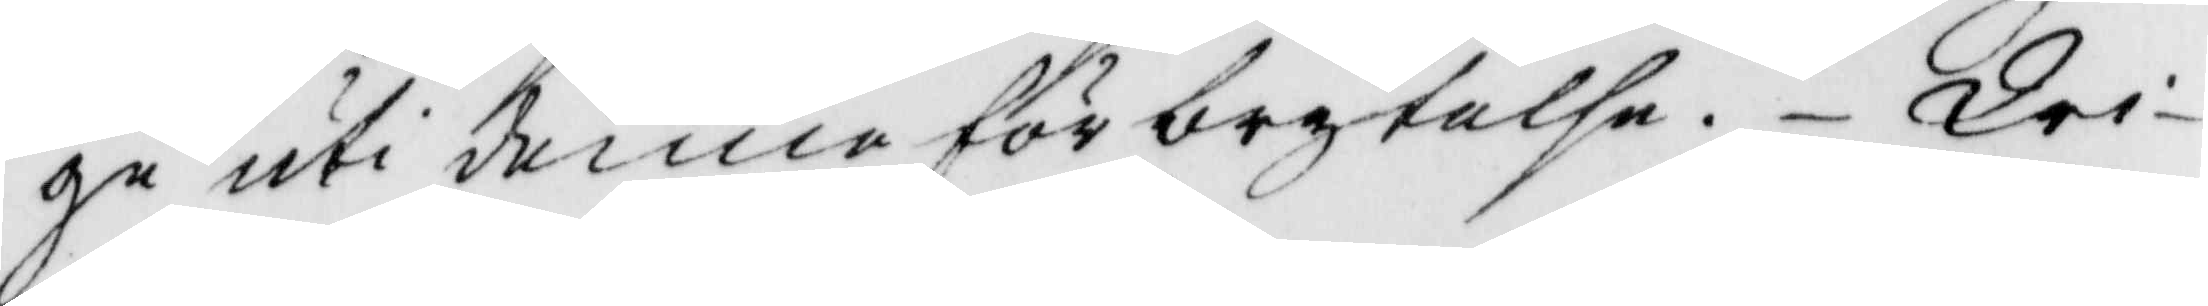ge uti denne förbrytelse. Wid¬
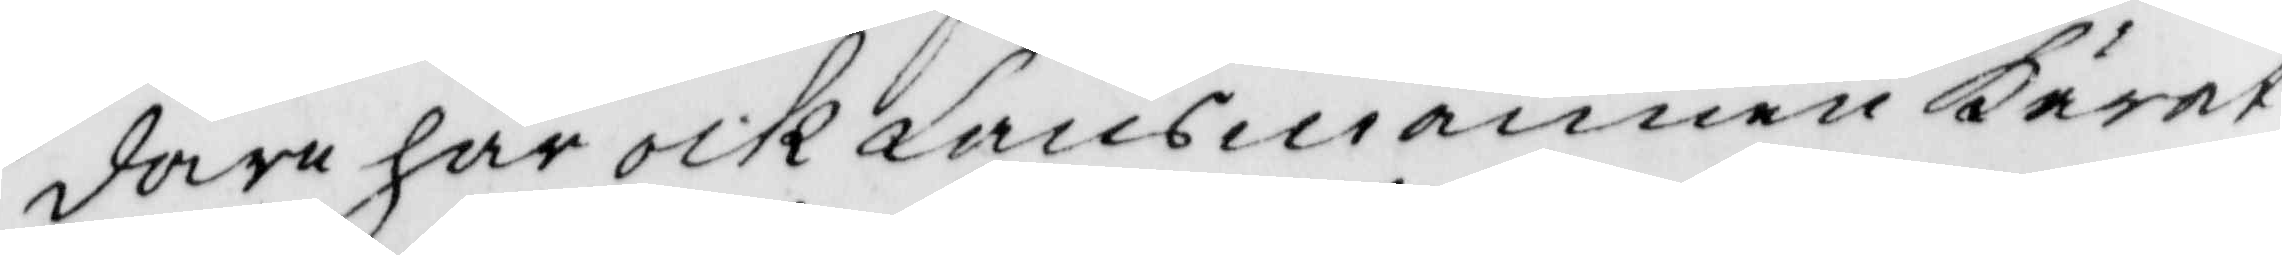dare har ock Länsmannen Kärat
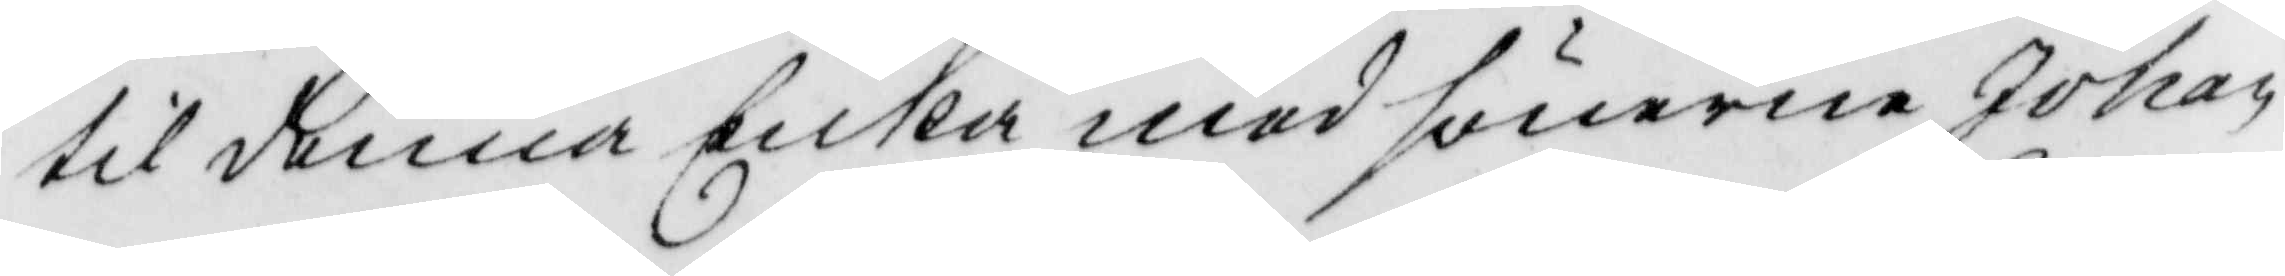till denna Enka med sönerne Johan,
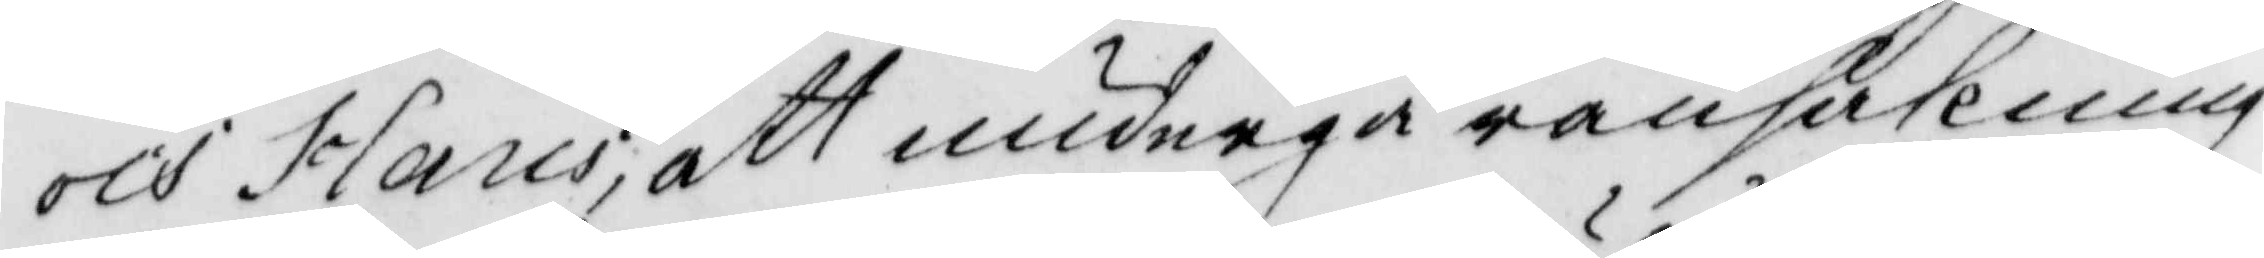och hans; att undergå ransakning
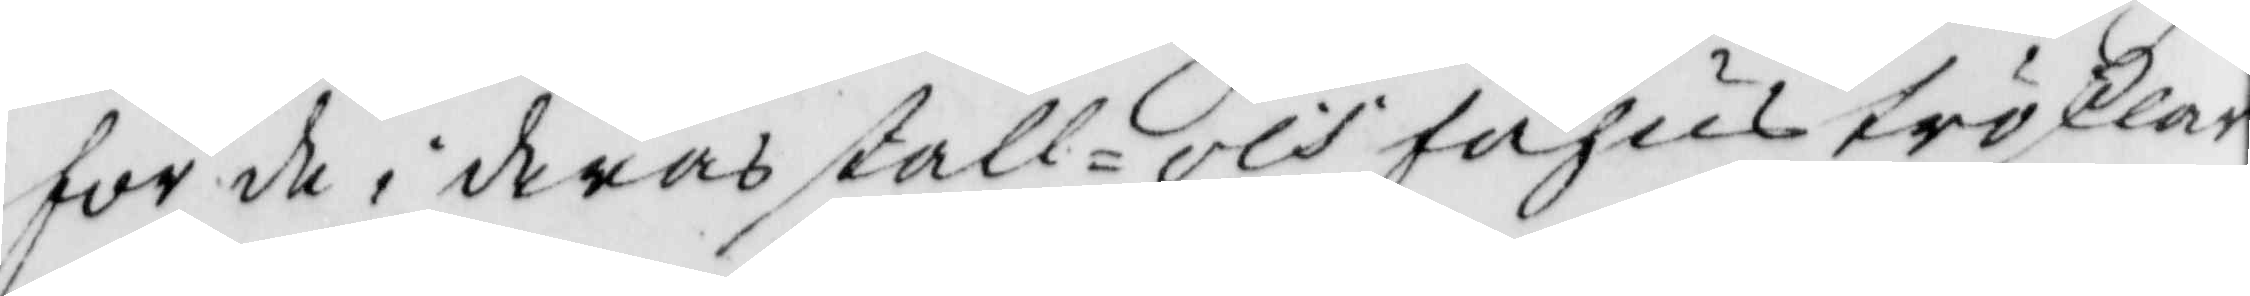för de i deras stall- och fähus trösklar
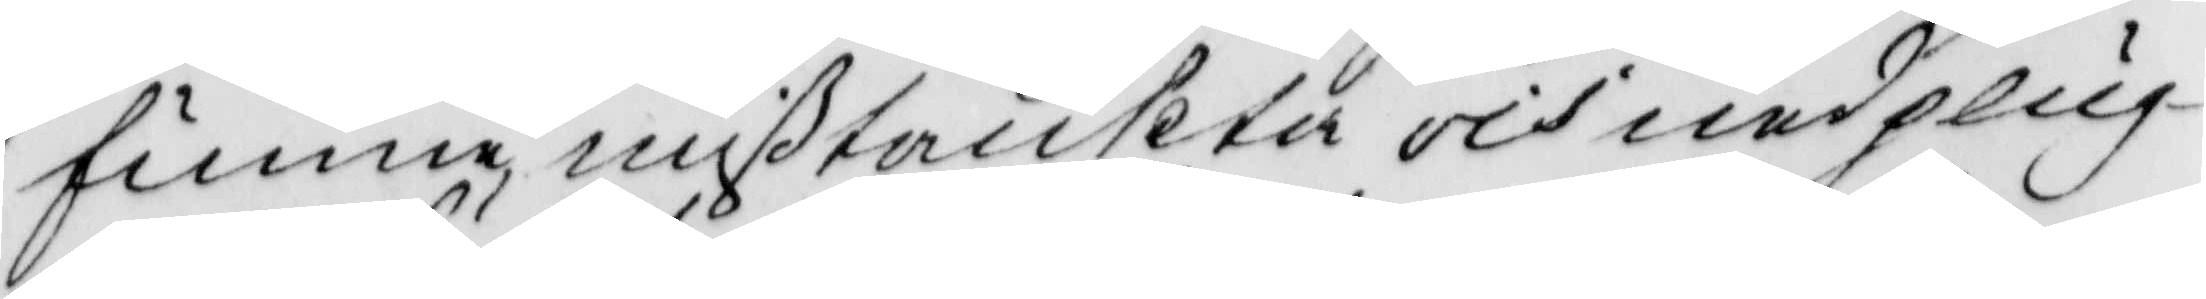funne, mißtänkta och nedplug¬
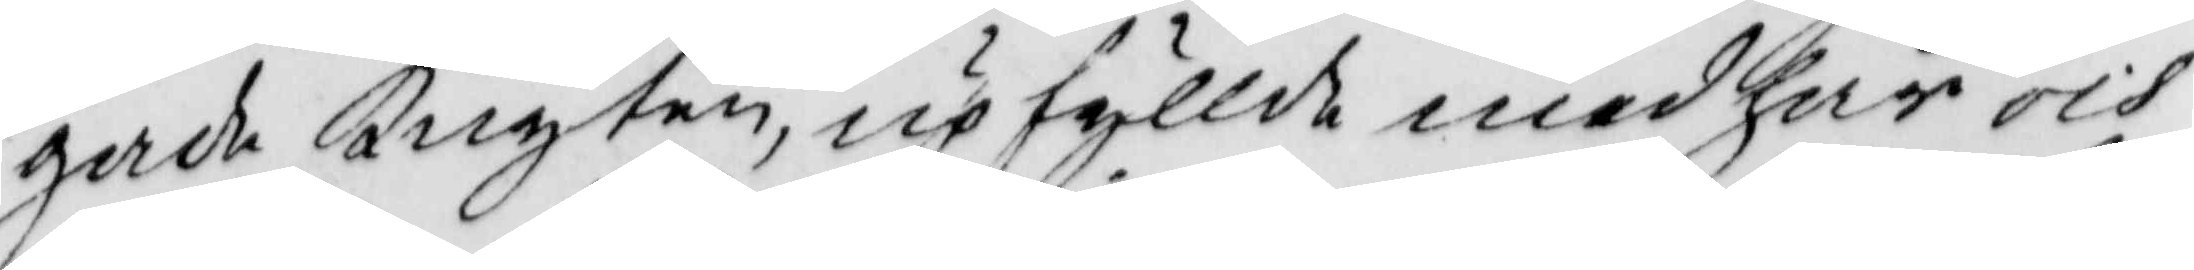gade knyten, upfyllde med hår och
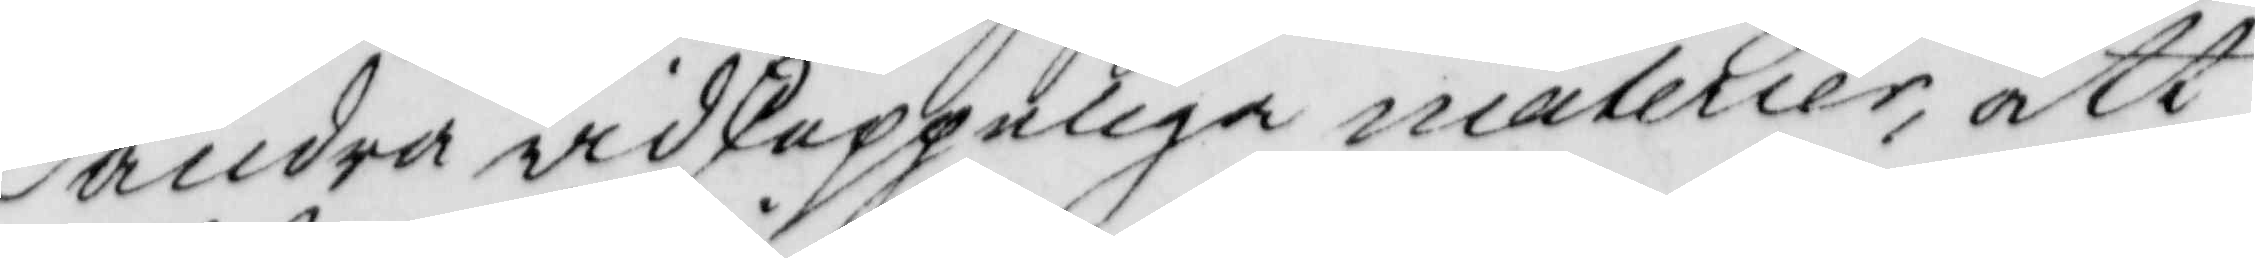andra widskeppeliga materier, att
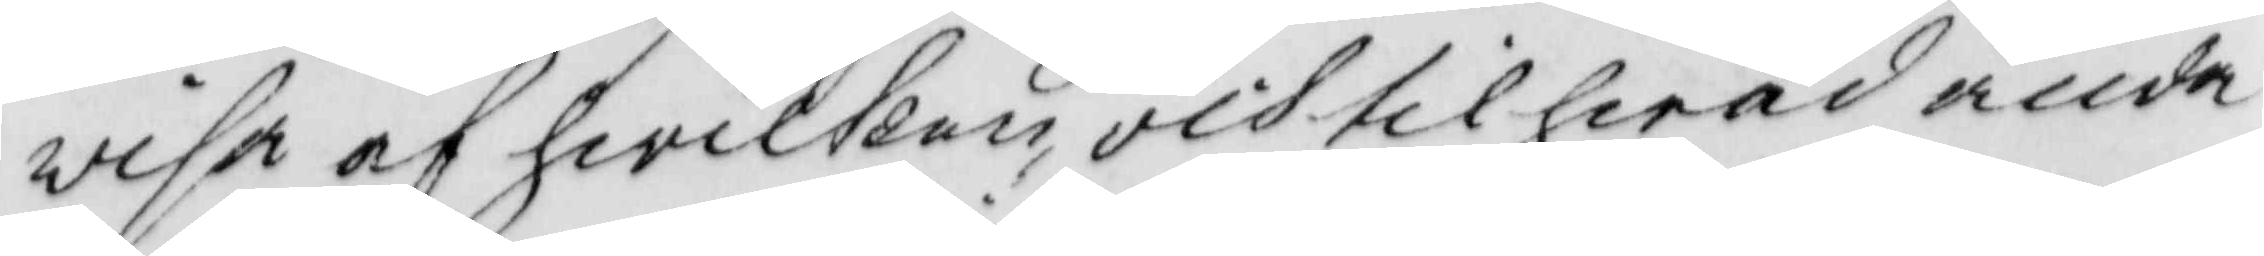wisa af hwilken och til hwad ända
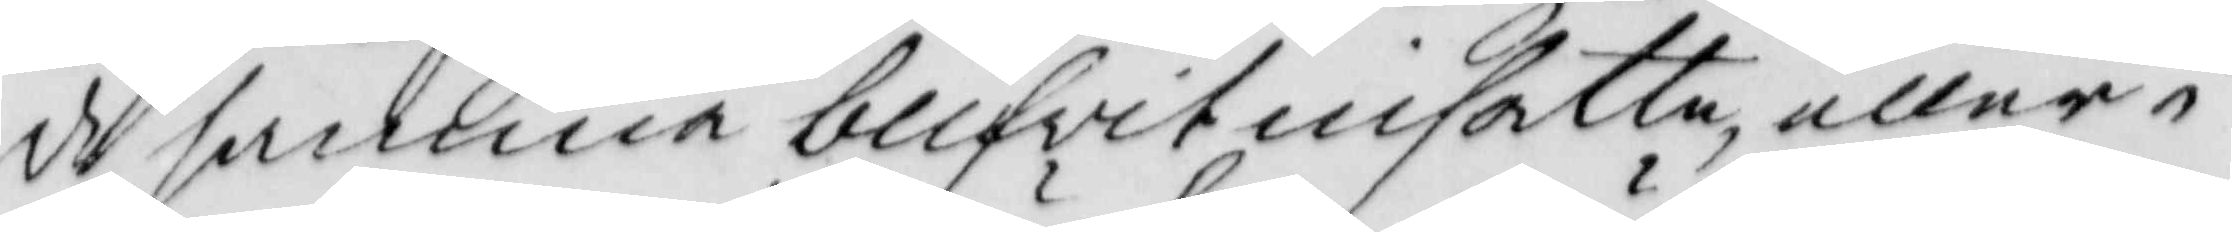de samma blifwit insatte, eller i
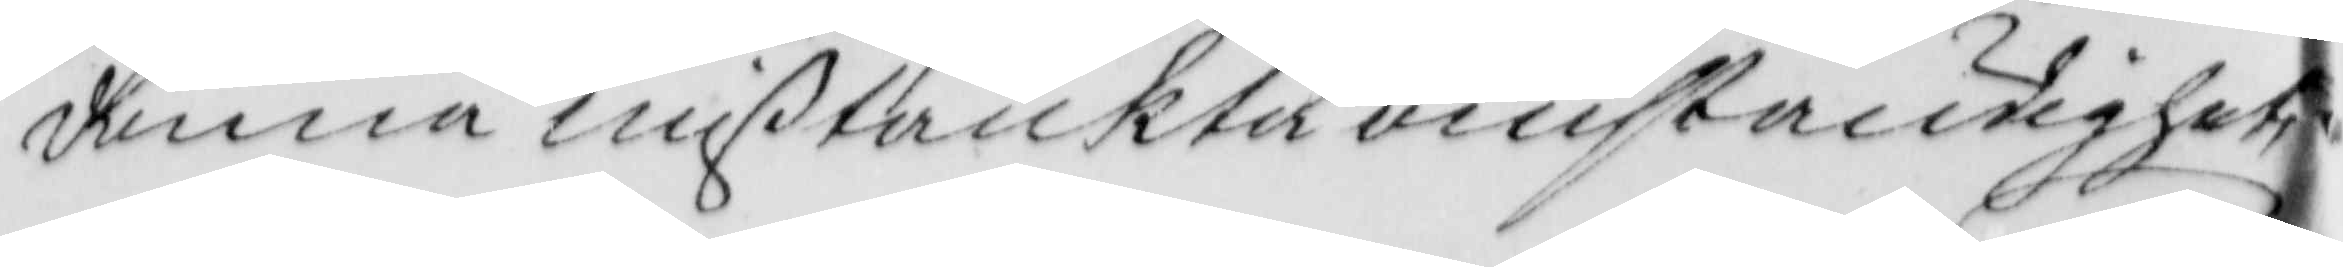denna mißtänkta omständighet
